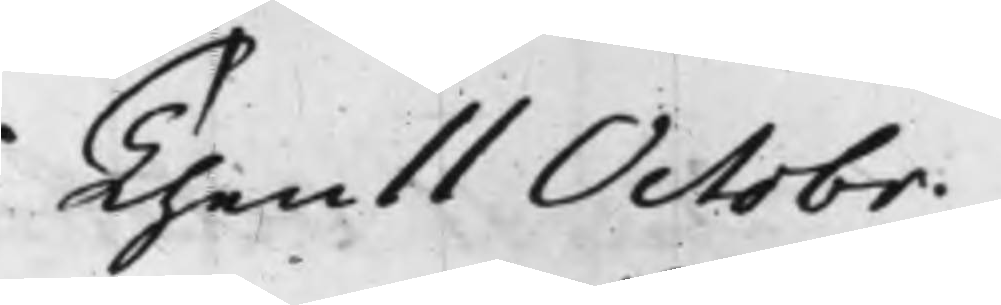Then 11 Octobr.
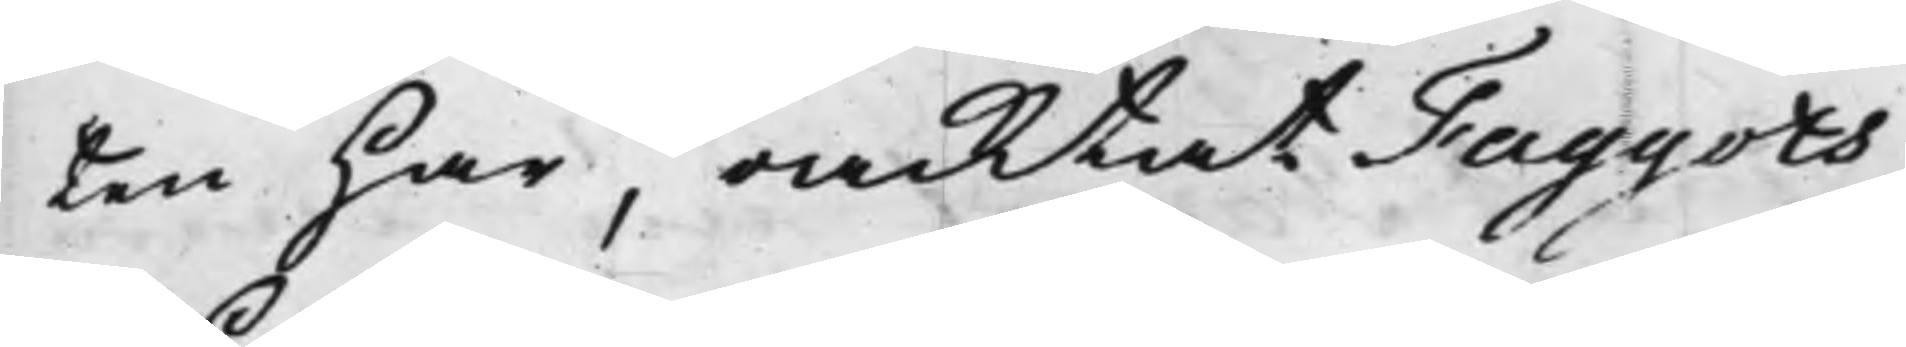ten har, oacktat Faggots
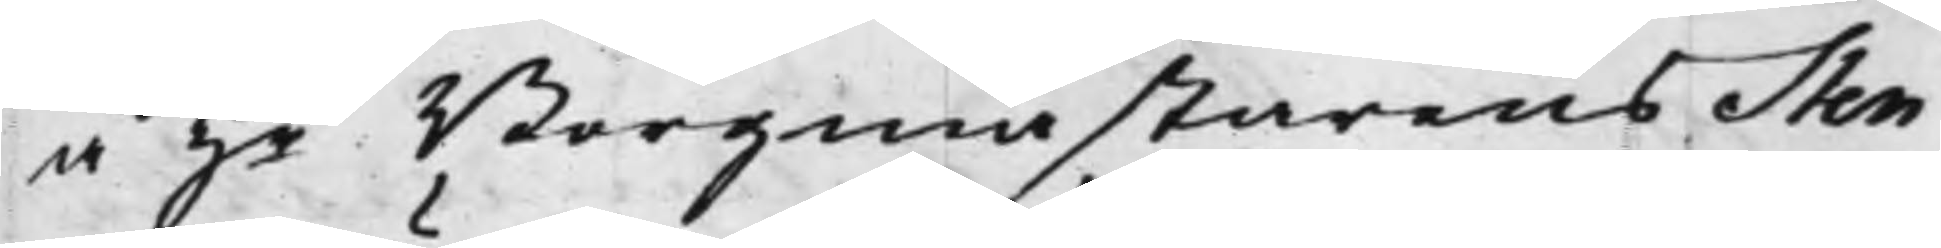å Hr Borgmästarens Sten¬
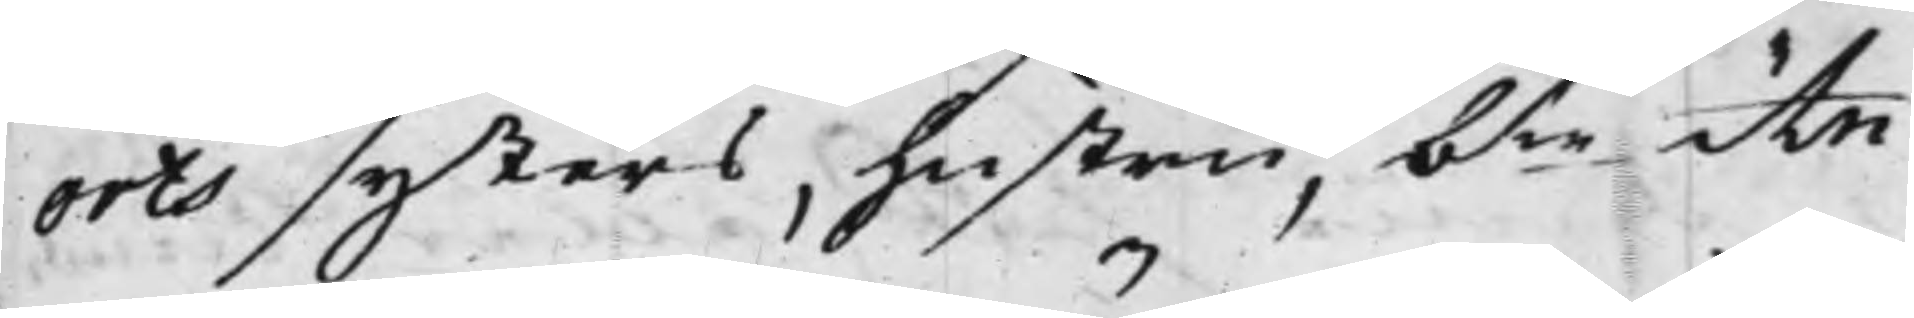orts systers, hustru, b.te An¬
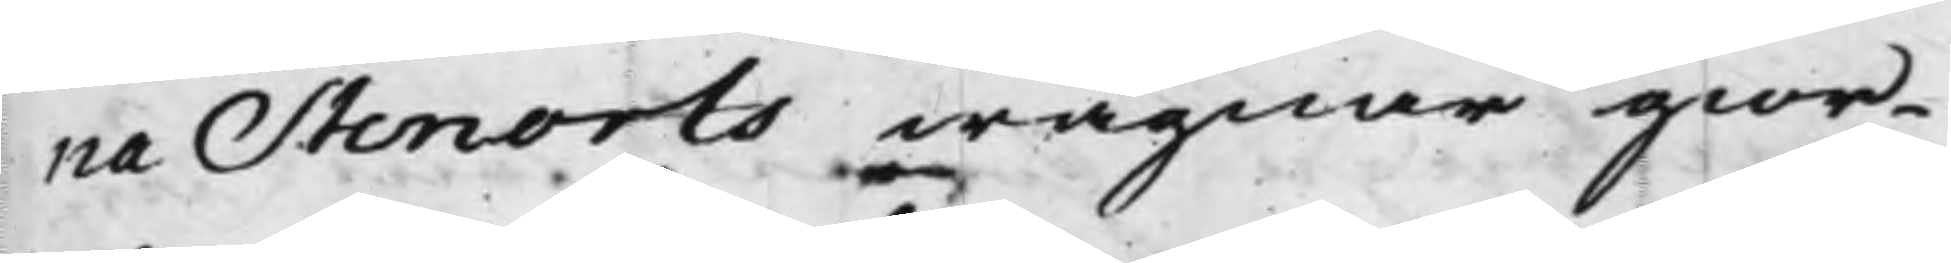na Stenorts wägnar gior¬
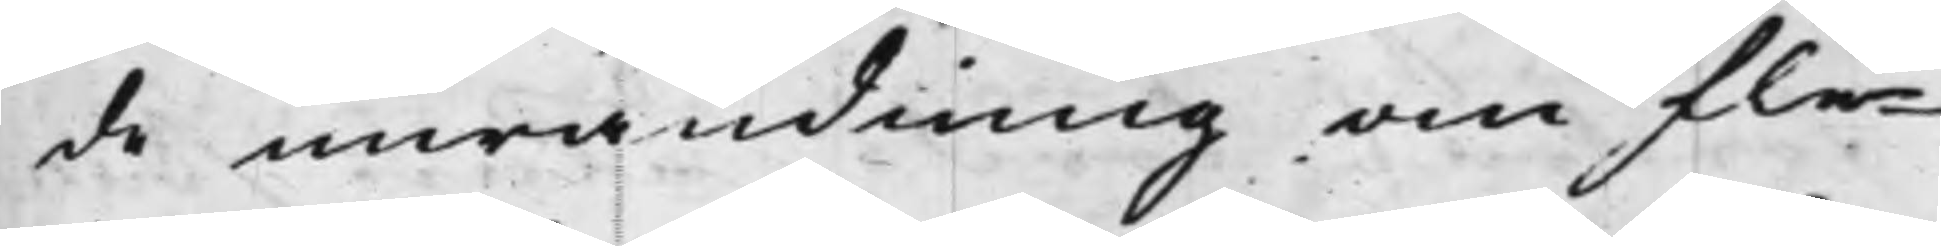de inwändning om fle¬
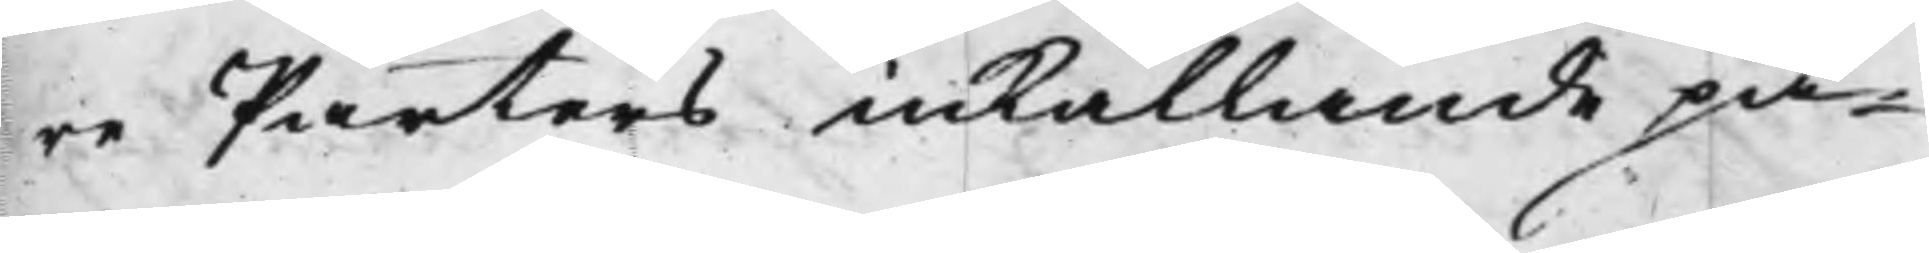re Parters inkallande på¬
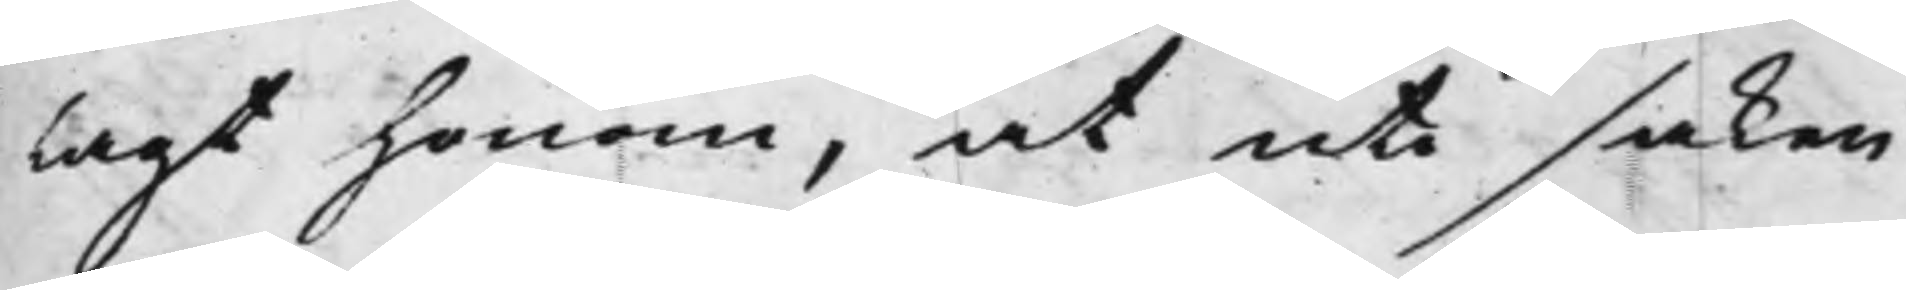lagt honom, at uti saken
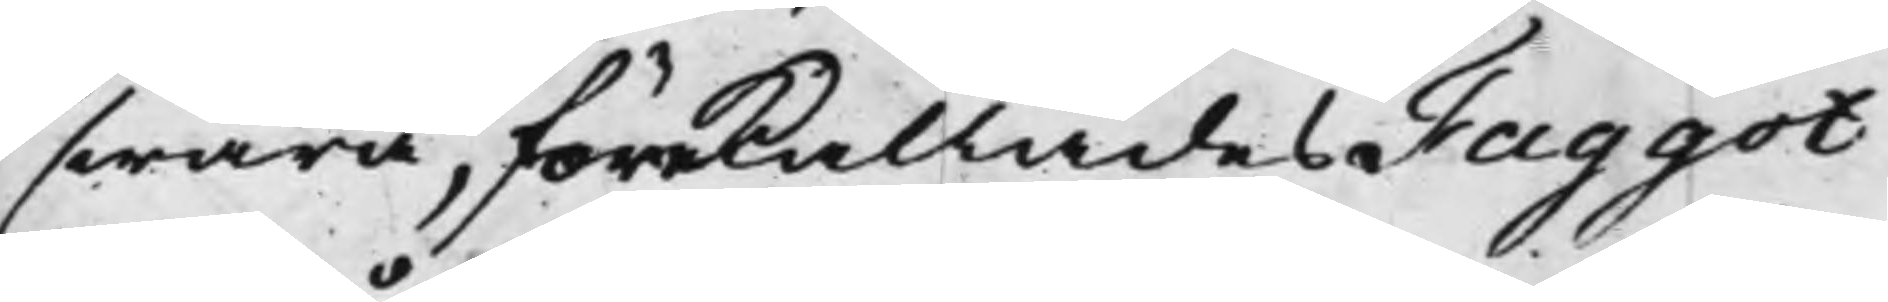swara, förekallades Faggot
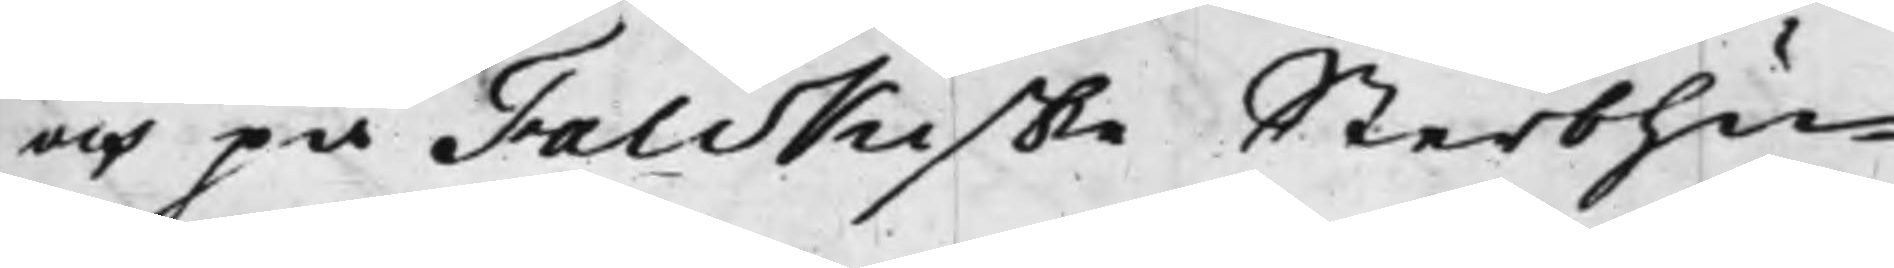och på Falckiske Sterbhu¬
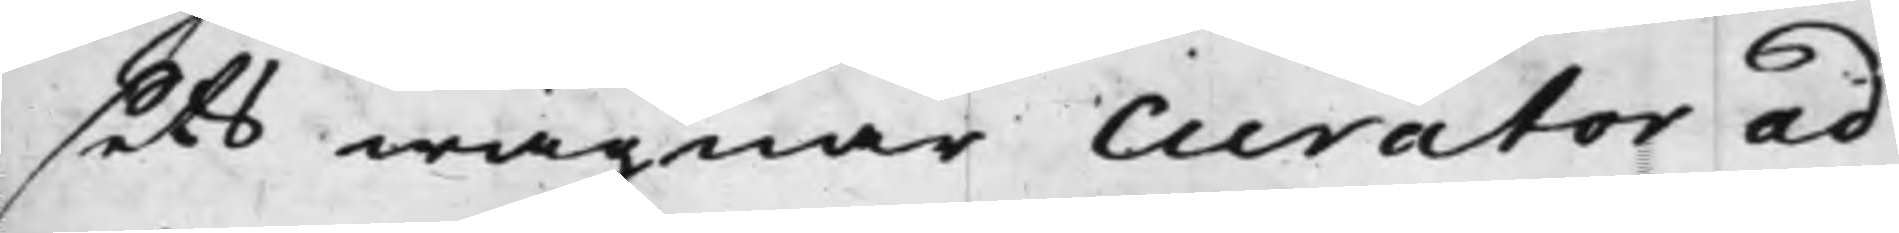sets wägnar Curator ad
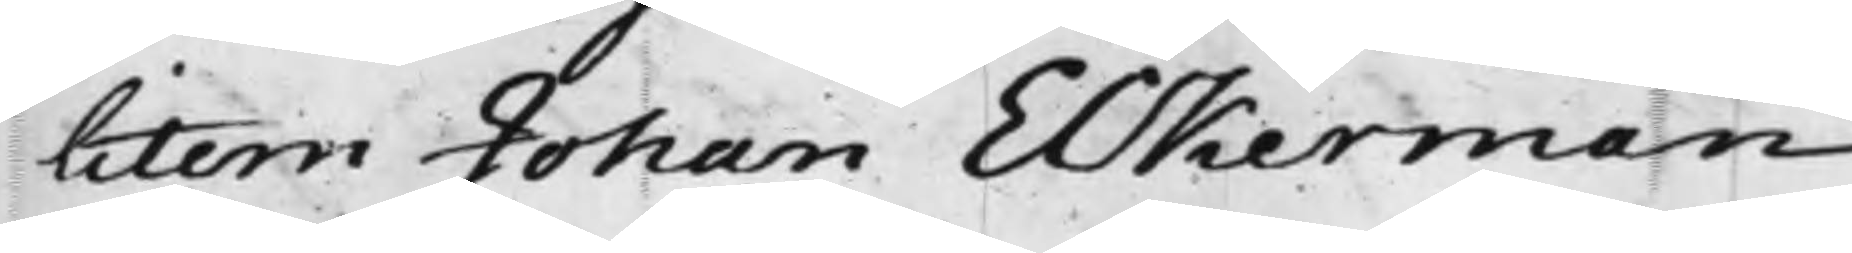litem Johan Eckerman
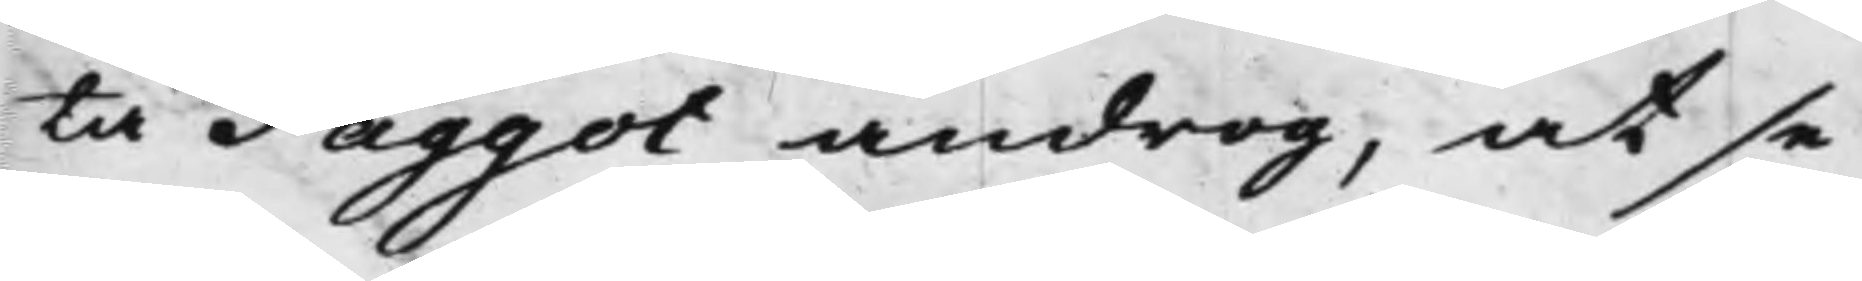tå Faggot androg, at se¬
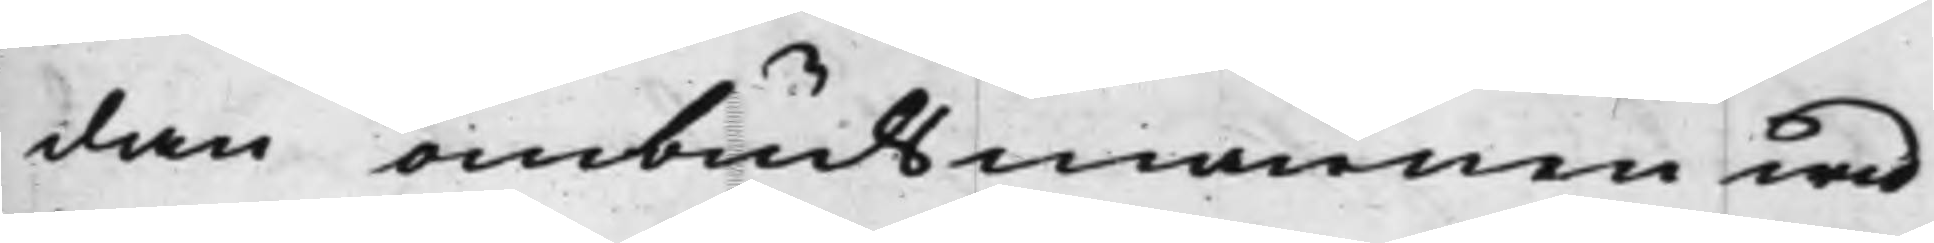dan ombudsmannen wid
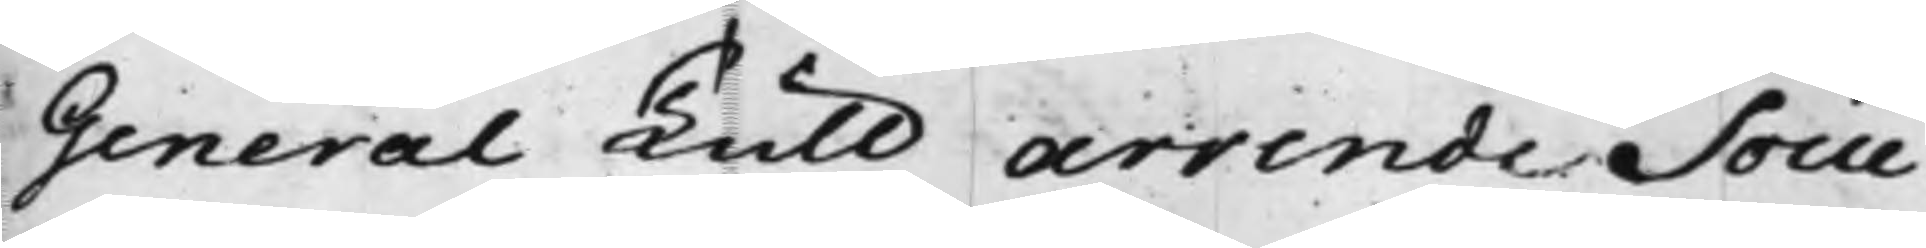General Tull arrende Socie¬
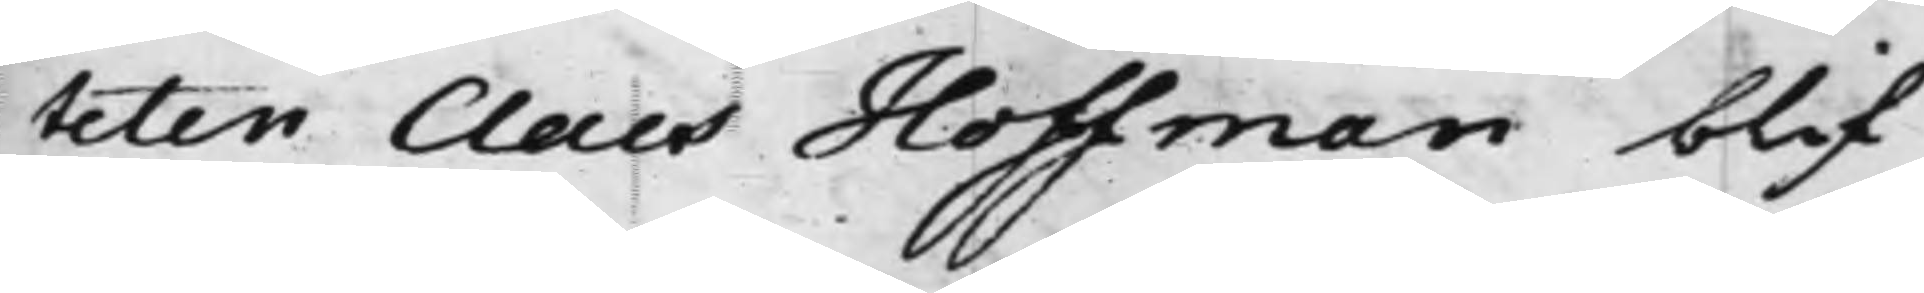teten Claes Hoffman blif¬
